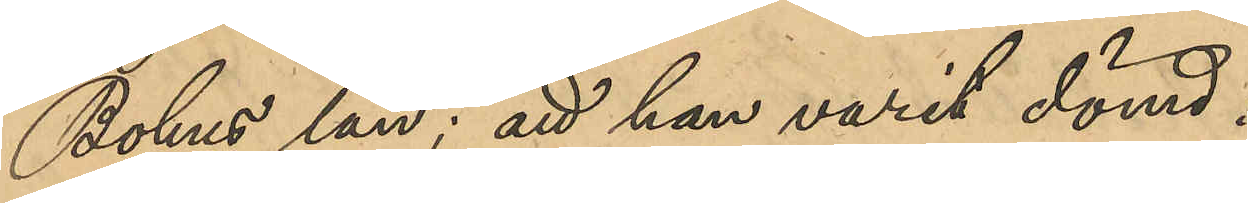Bohus län; att han varit dömd:
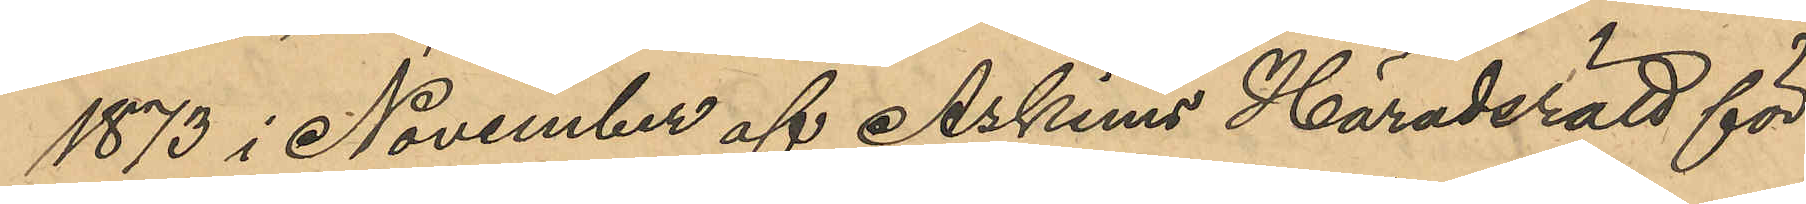1873 i November af Askims Häradsrätt för
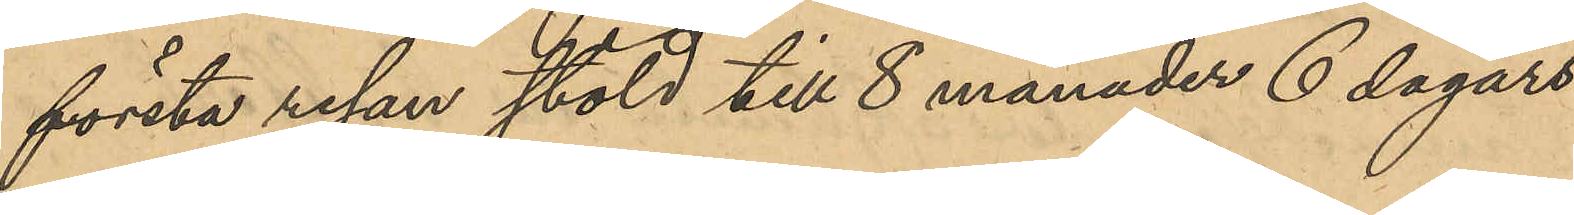första resan stöld till 8 månader 6 dagars
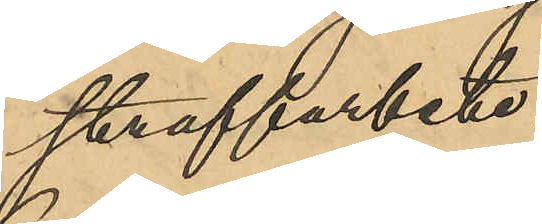straffarbete,
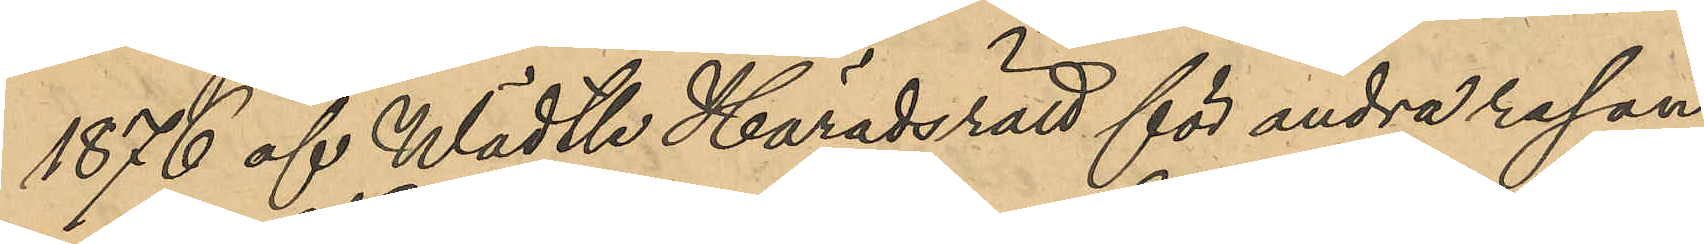1876 af Wädtle Häradsrätt för andra resan
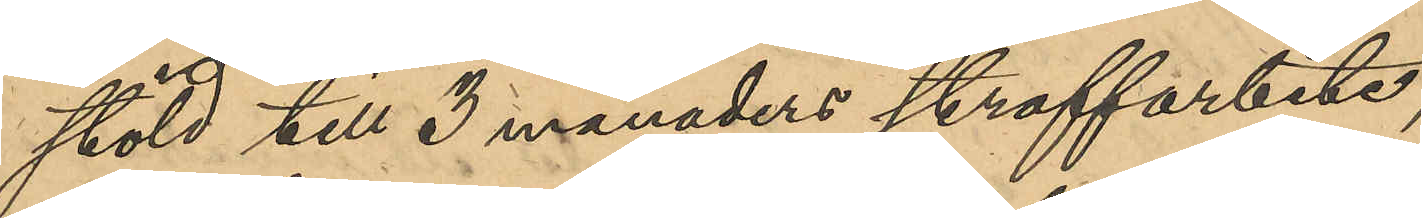stöld till 3 månaders straffarbete;
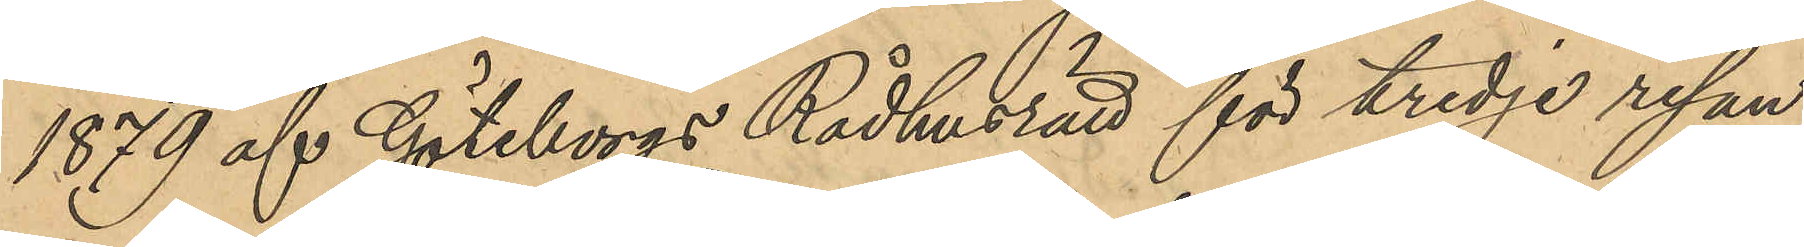1879 af Göteborgs Rådhusrätt för tredje resan
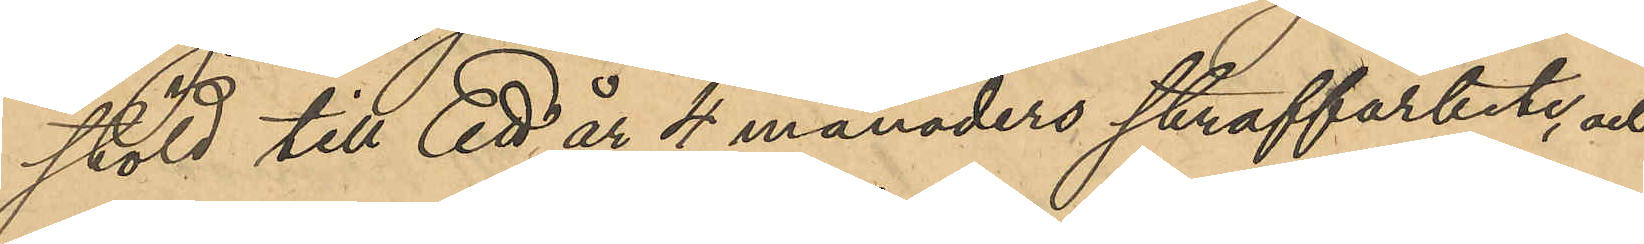stöld till Ett år 4 månaders straffarbete, och
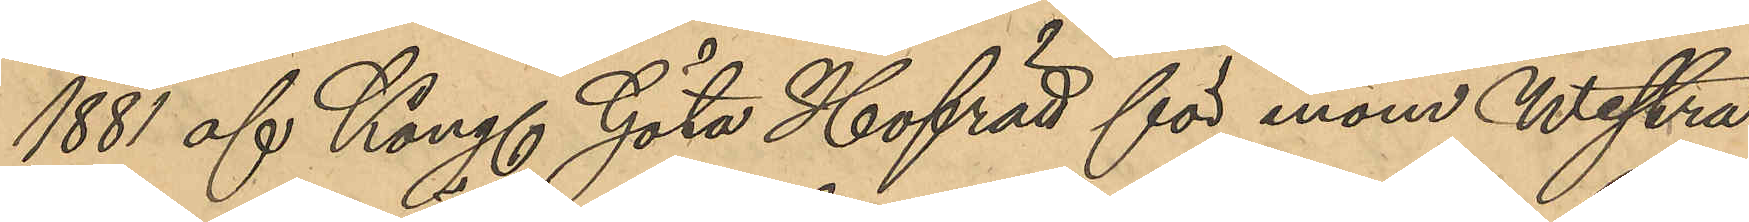1881 af Kongl. Göta Hofrätt för inom Westra
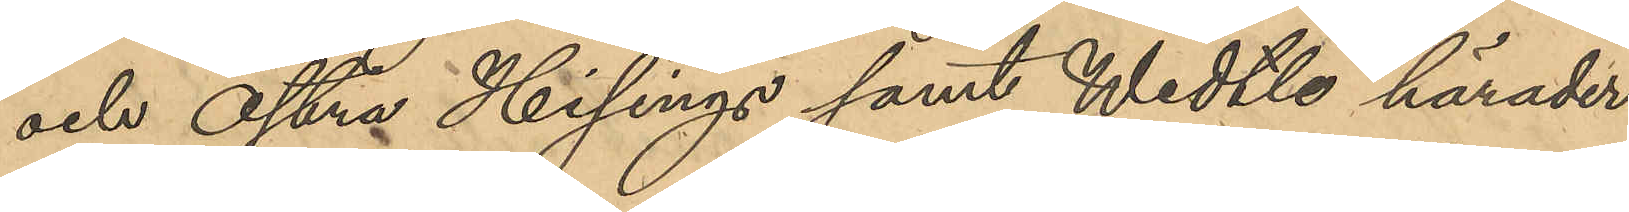och Östra Hisings samt Wedtle härader
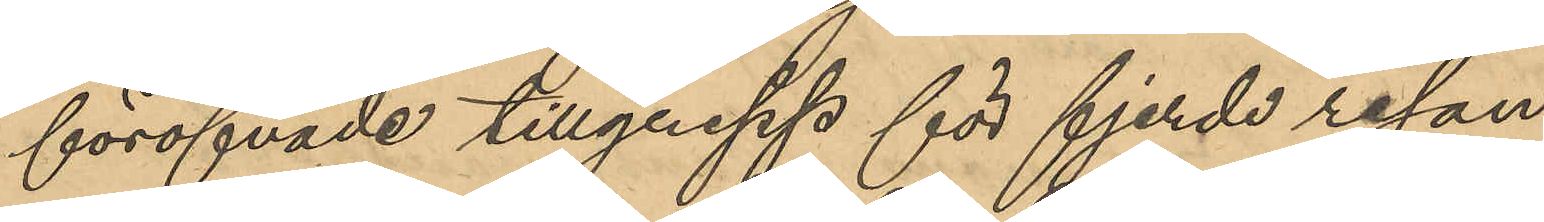föröfvade tillgrepp för fjerde resan
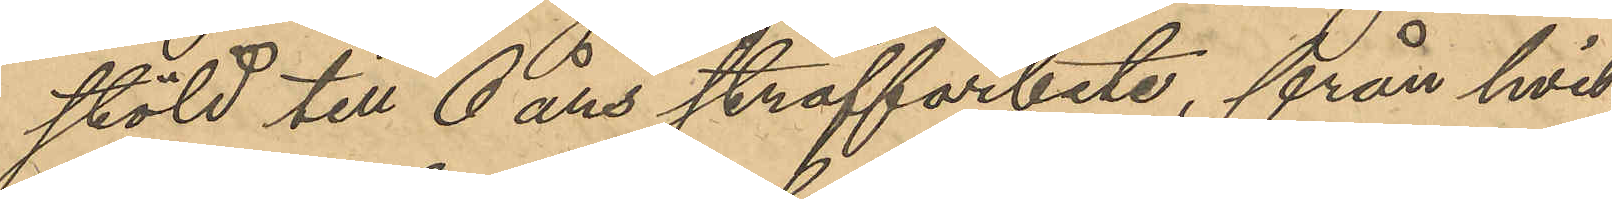stöld till 6 års straffarbete, från hvil¬
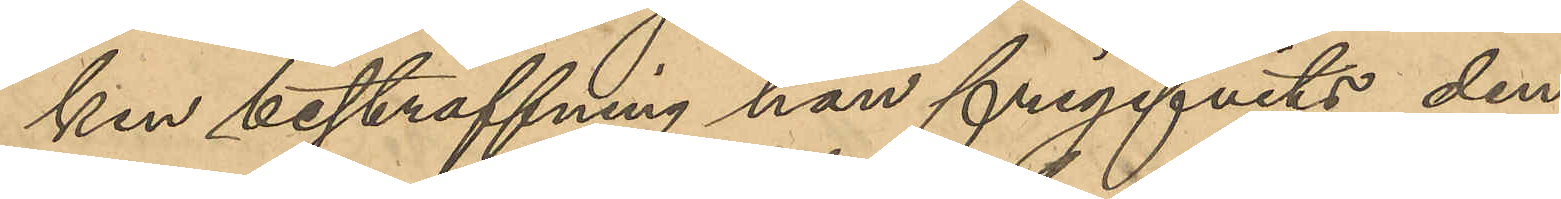ken bestraffning han frigifvits den
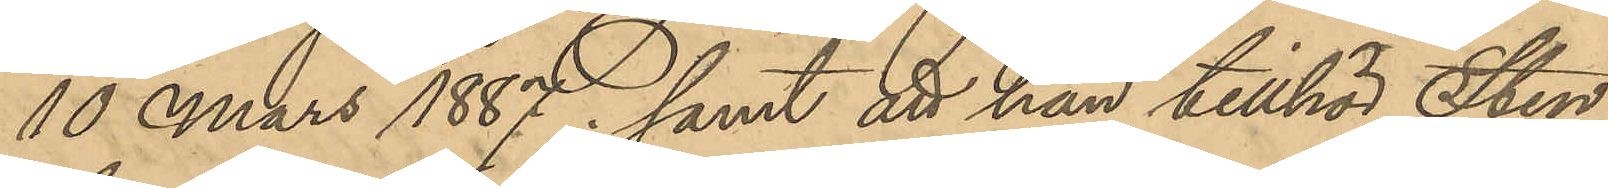10 Mars 1887; samt att han tillhör Sten¬
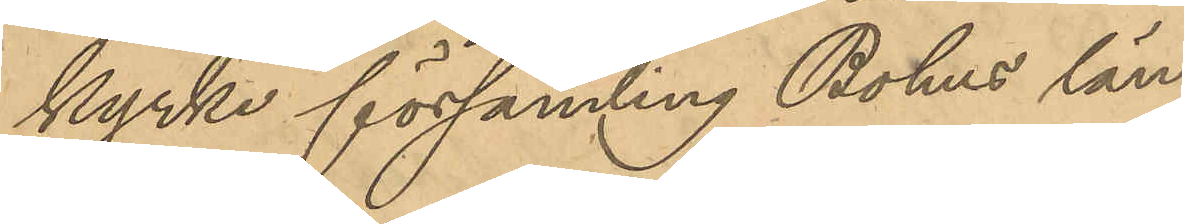kyrke församling Bohus län.
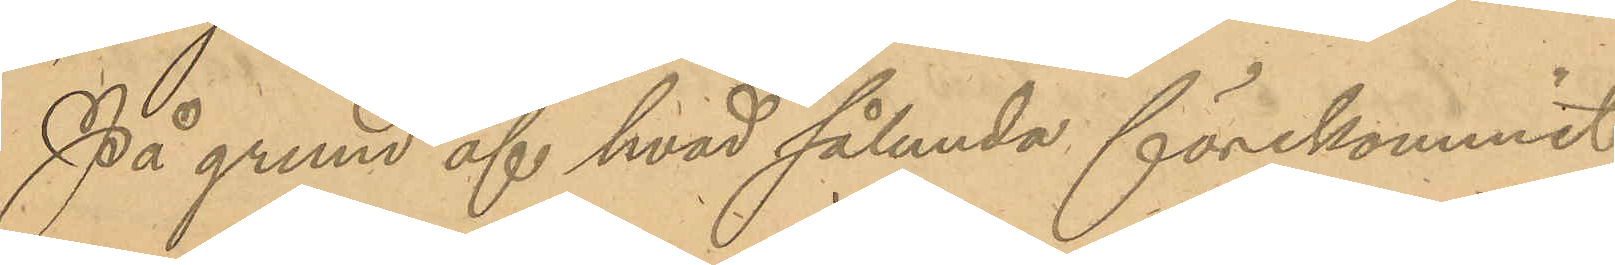På grund af hvad sålunda förekommit
